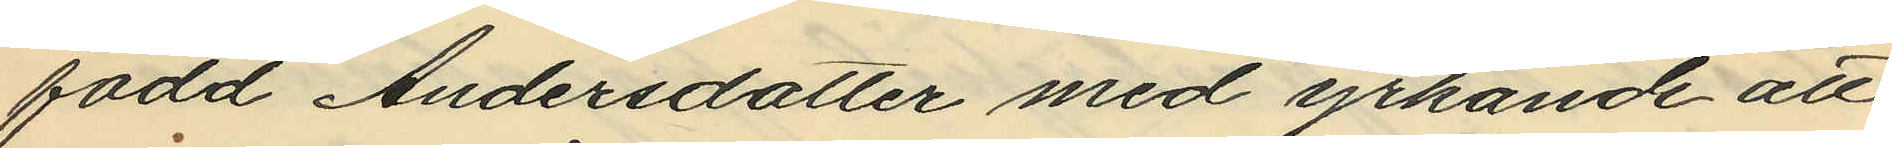född Andersdotter med yrkande att
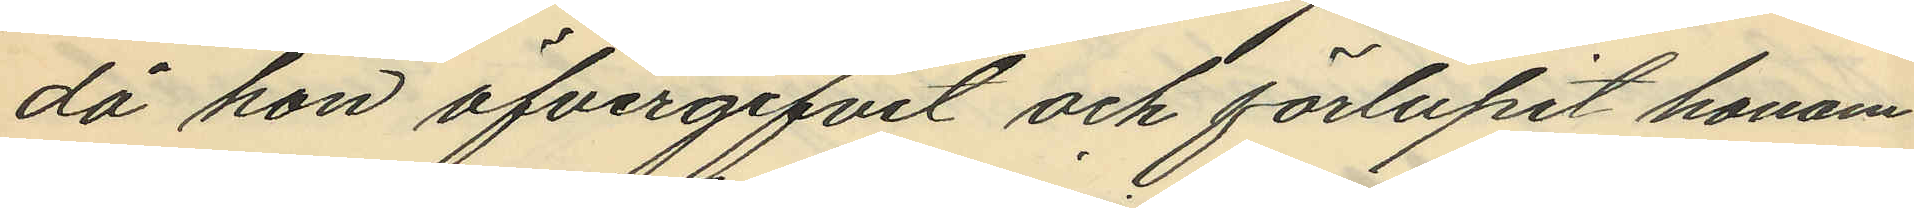då hon öfvergifvit och förlupit honom
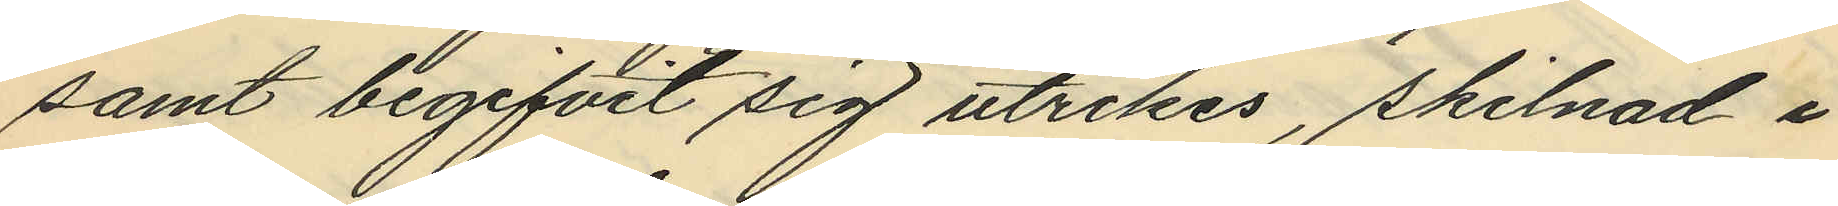samt begifvit sig utrikes, skilnad i
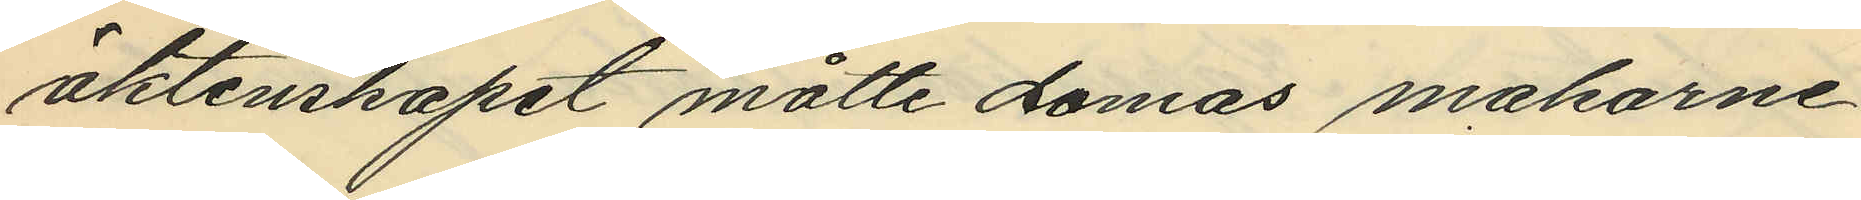aktenskapet måtte domas makarne
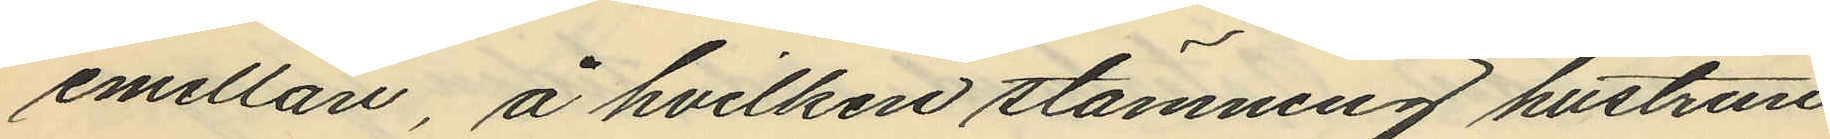emellan, å hvilken stämning hustrun
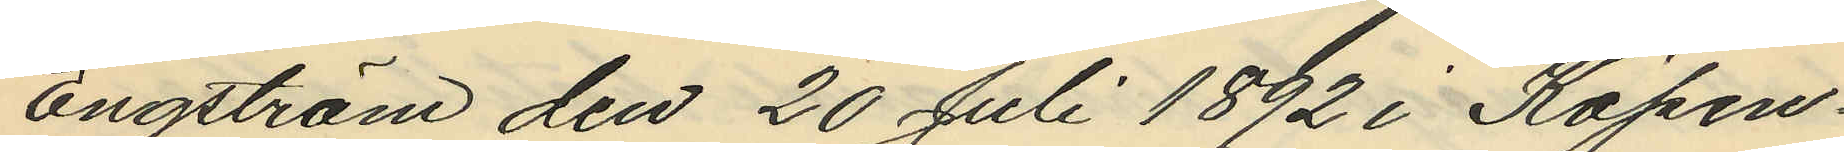Engström den 20 Juli 1892 i Köpen¬
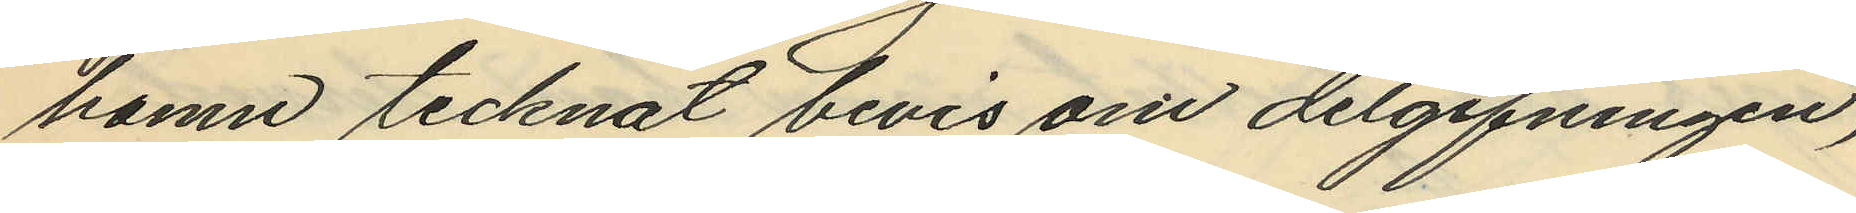hamn tecknat bevis om delgifningen,
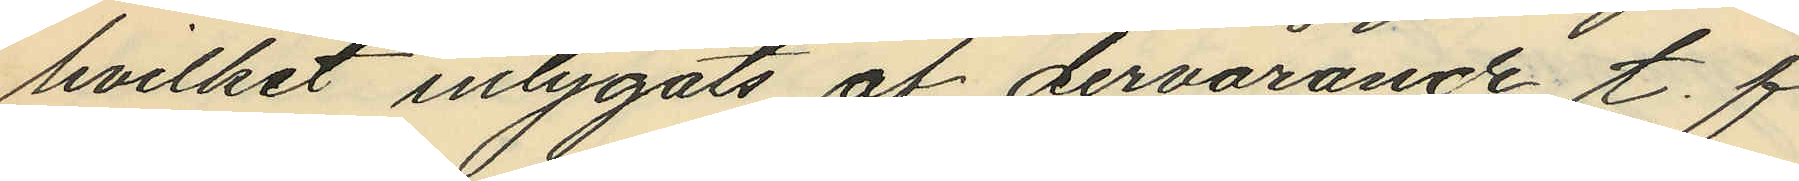hvilket intygats af dervarande t. f.
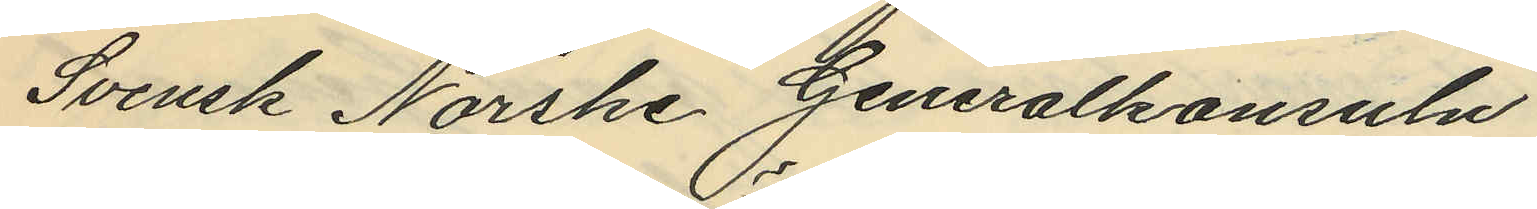Svensk Norske Genealkonsuln
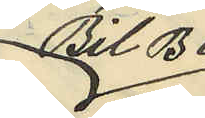Bil B
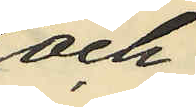och
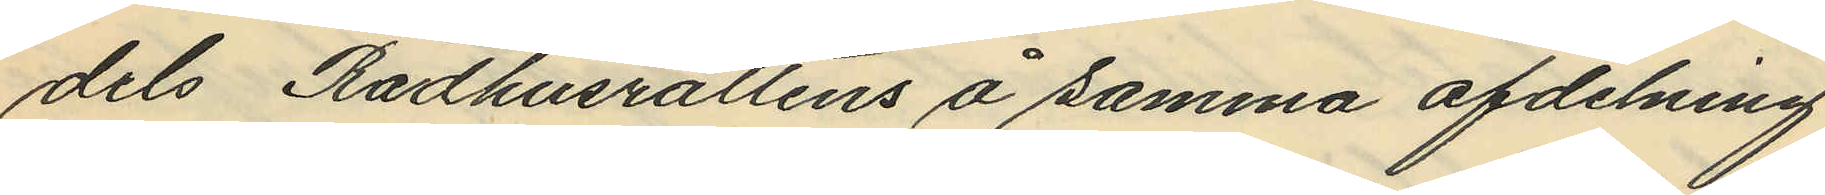dels Rådhusrättens å samma afdelning
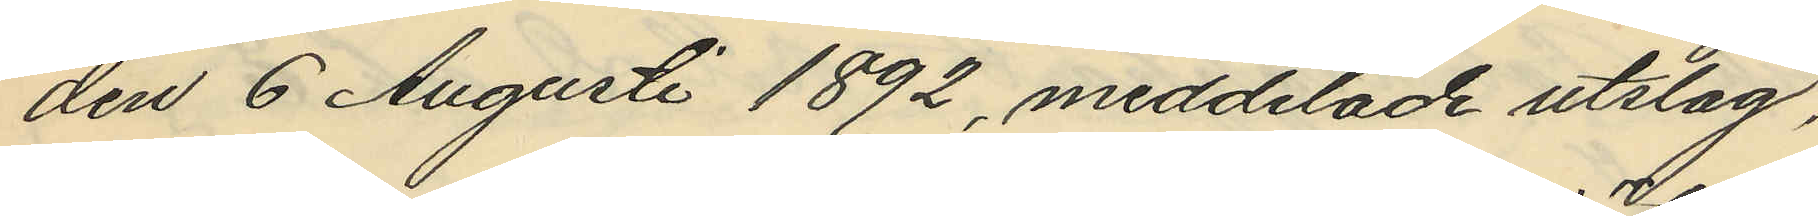den 6 Augusti 1892, meddelade utslag,
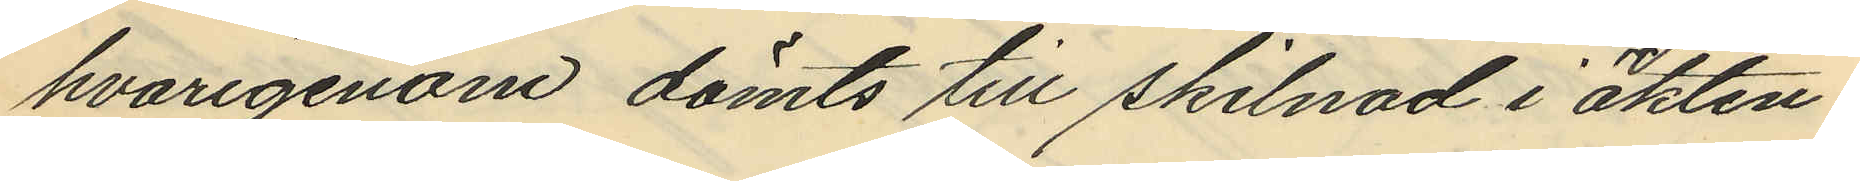hvarigenom dömts till skilnad i äkten¬
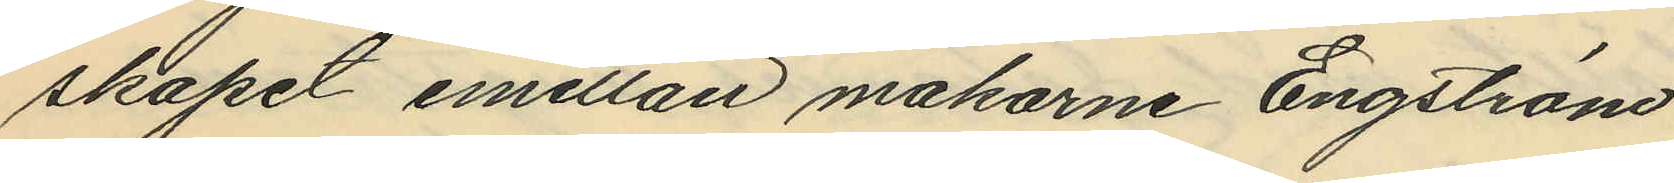skåpet emellan makarne Engström
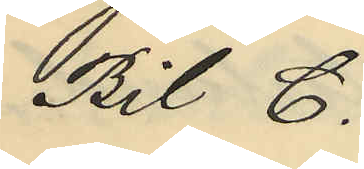Bil C.
